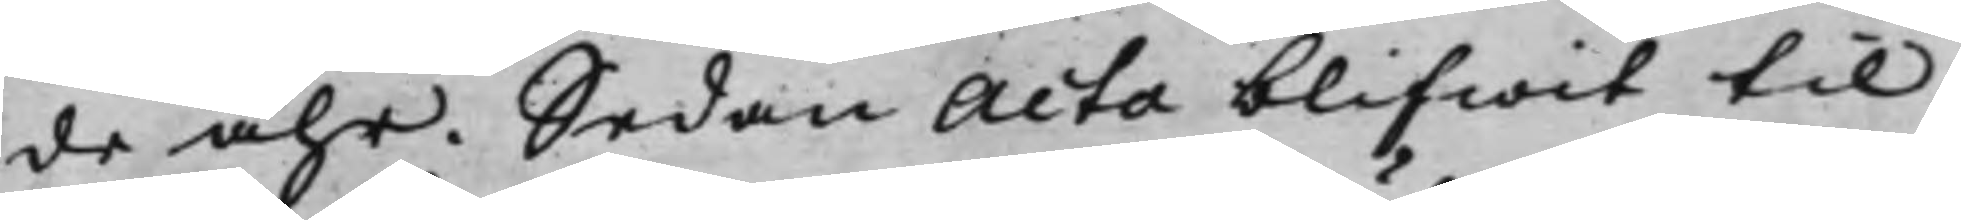de åhr. Sedan Acta blifwit til
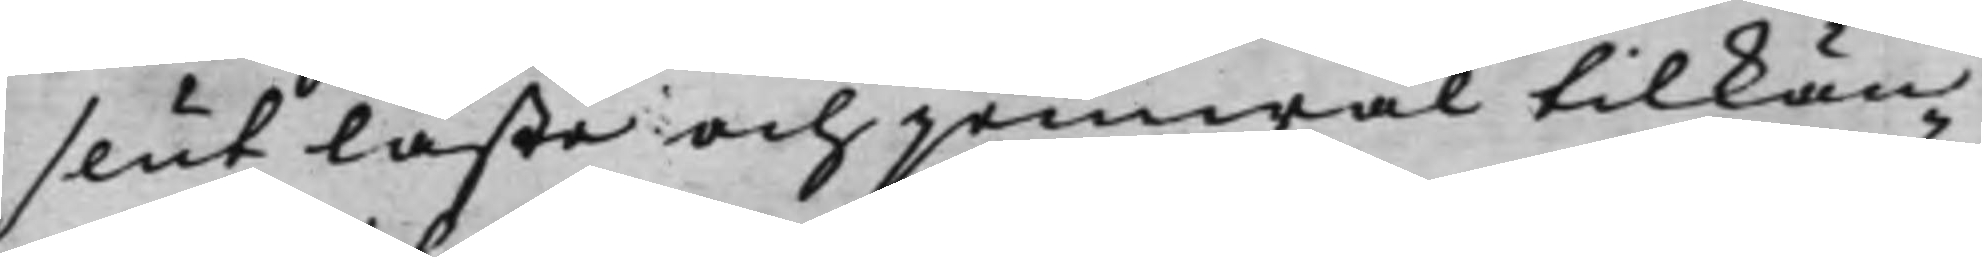slut läste och jemwäl tilkän¬
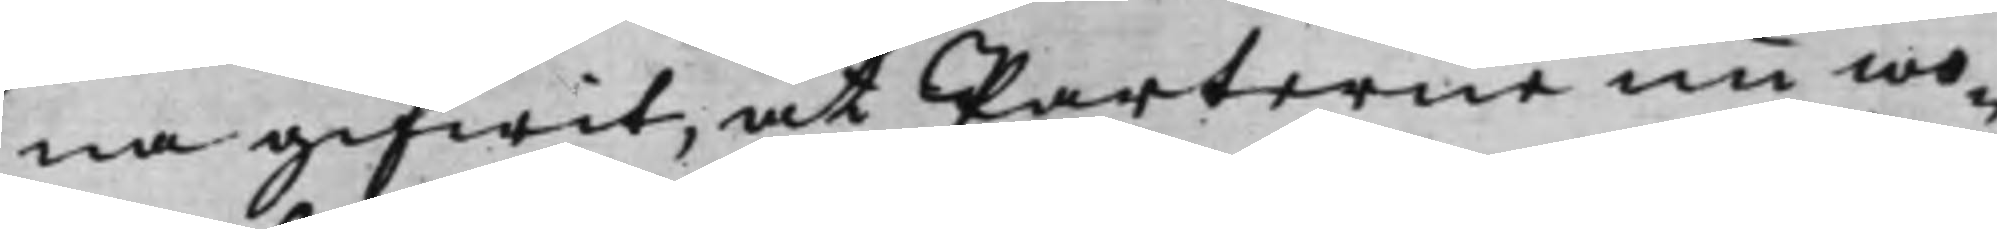na gifwit, at Parterne nu wo¬
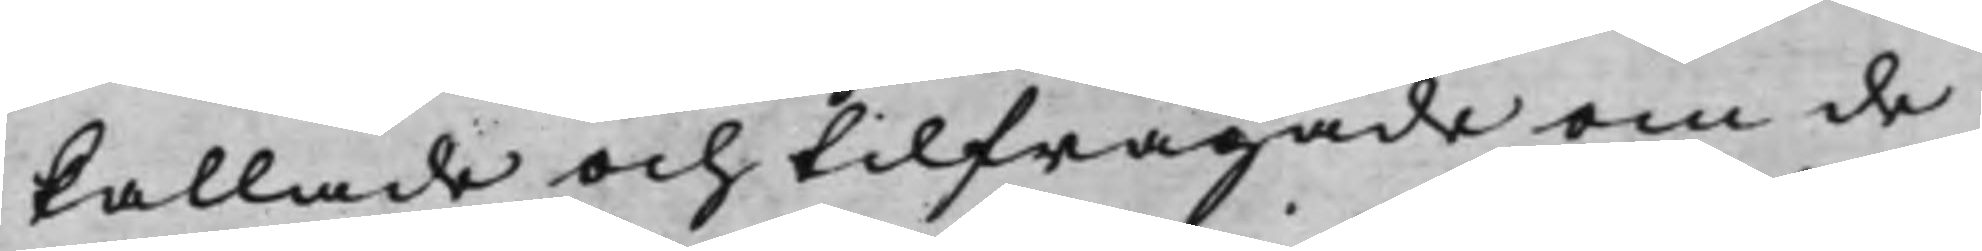kallade och tilfrågade om de
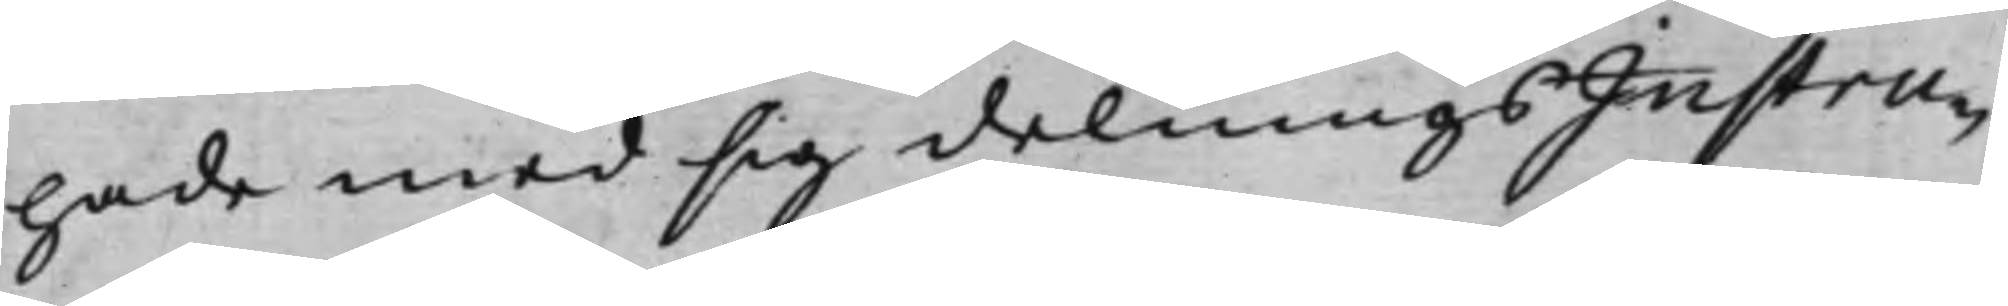hade med sig delningsInstru¬
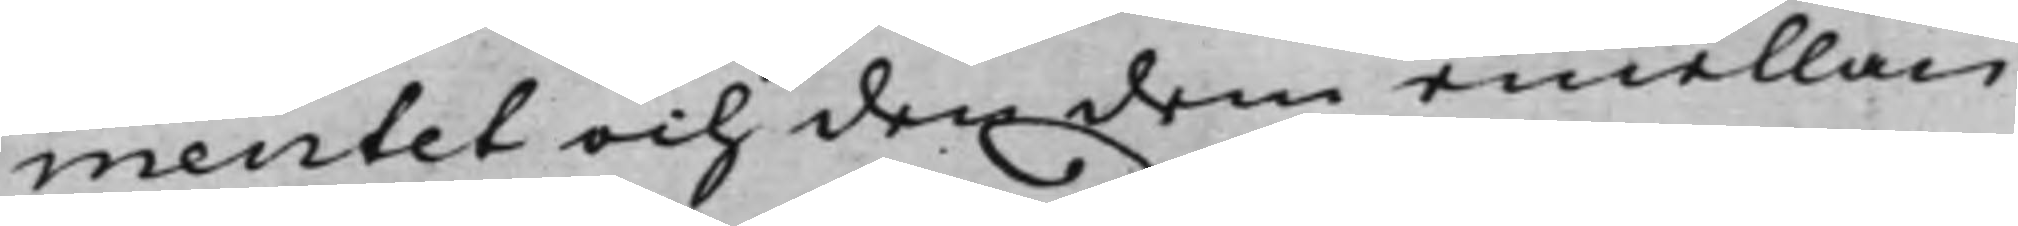mentet och den dem emellan
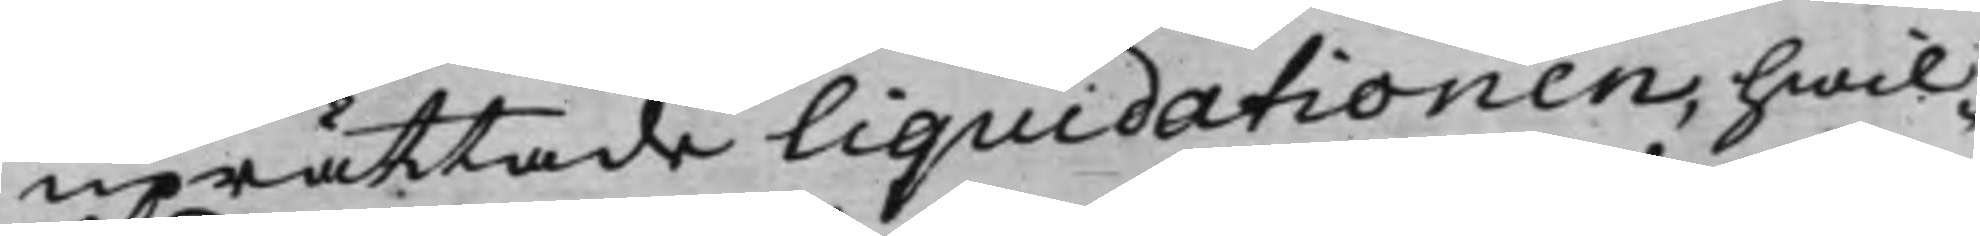uprättade Liquidationen, hwil¬
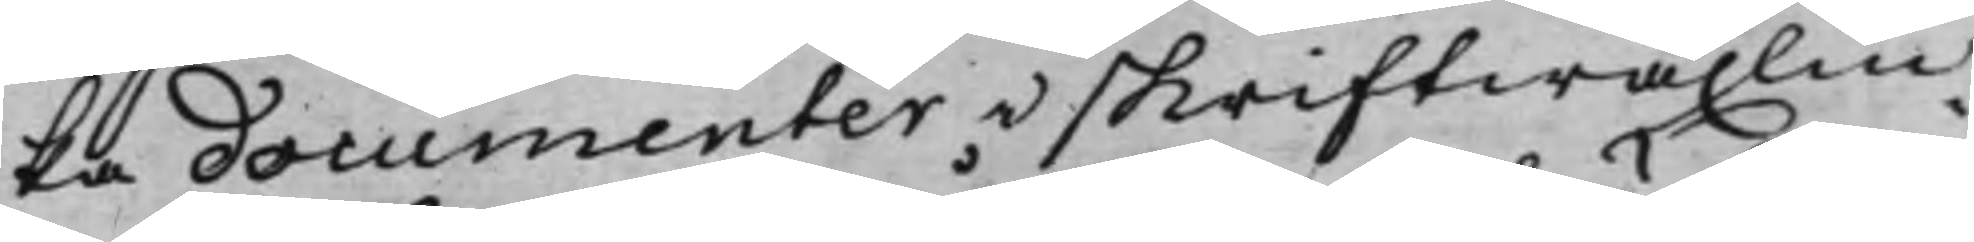ka documenter i skriftwäxlin¬
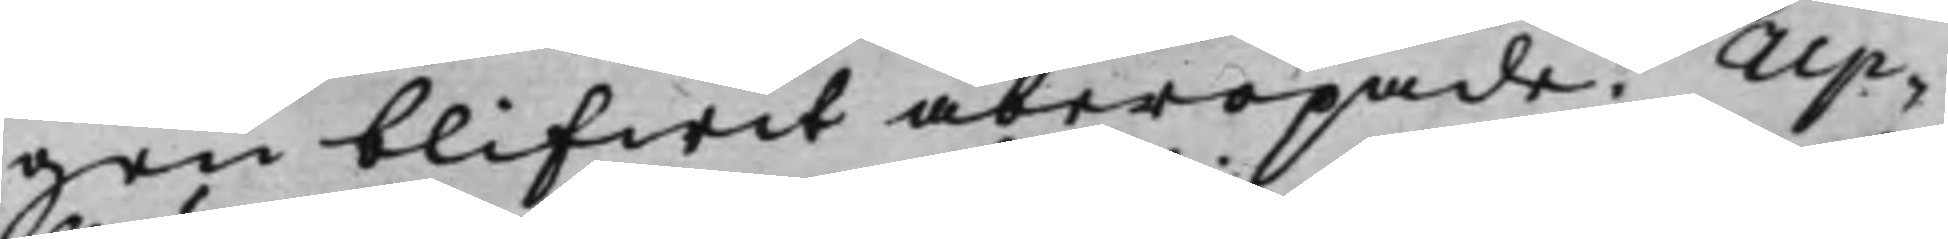gen blifwit åberopade? Up¬
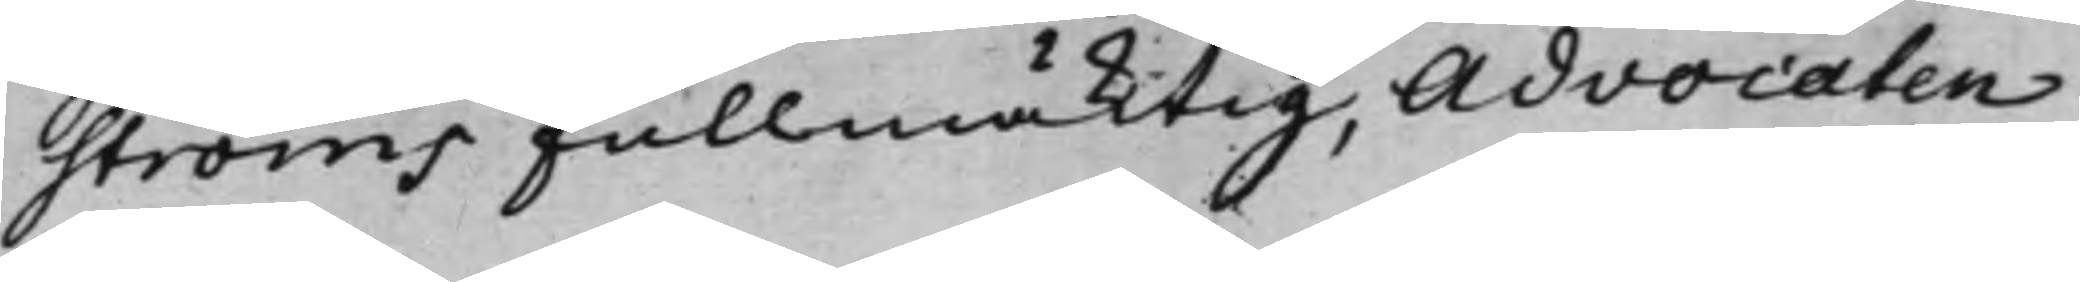ströms Fullmäktig, Advocaten
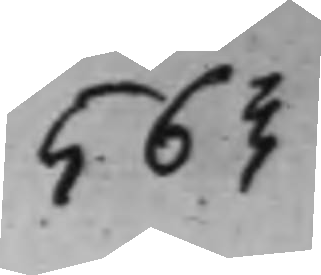563<
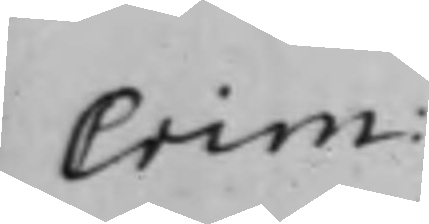Crim:
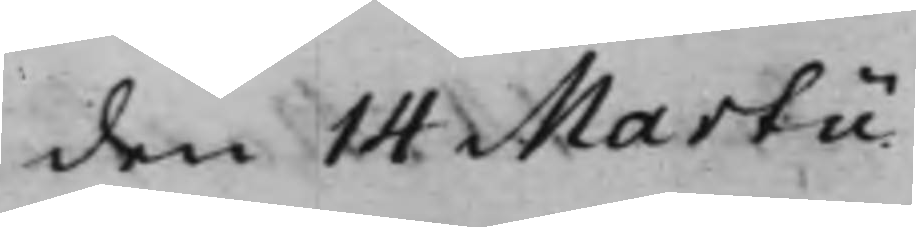den 14 Martii
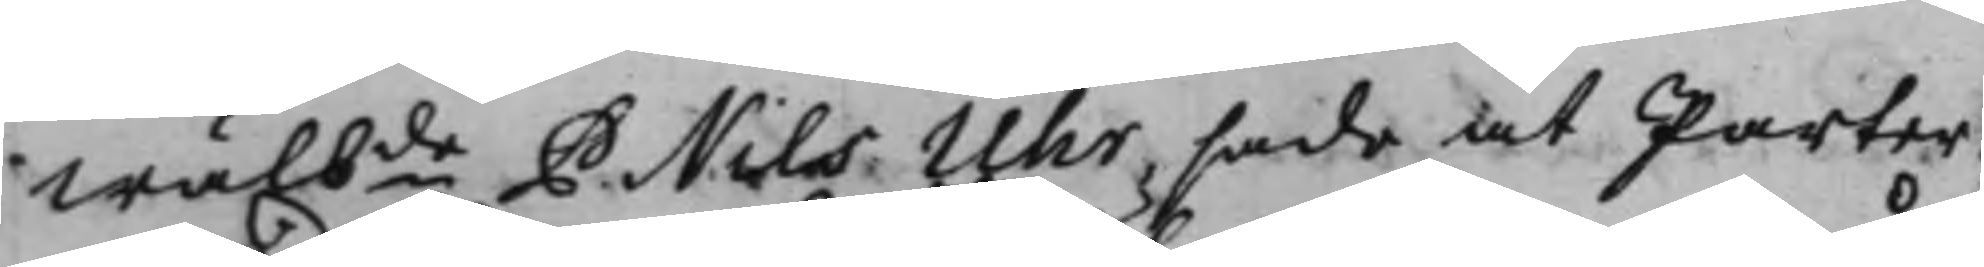wälbde P. Nils Uhr, sade at Parter¬
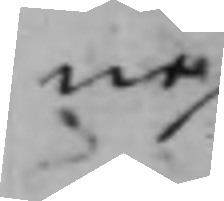ne
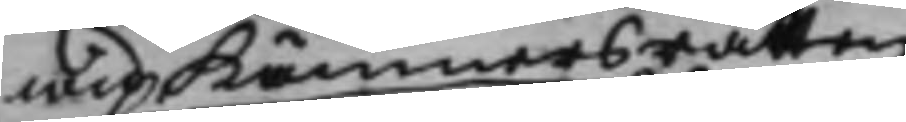wid Kämnersrätten
